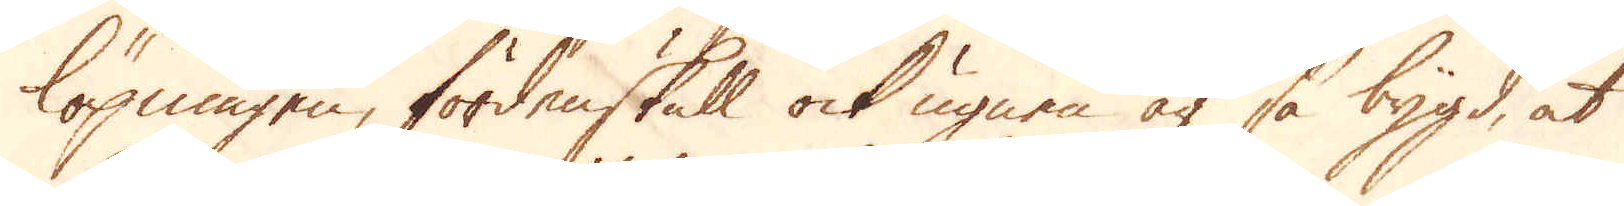löpningen, fördenskull ock ugnen är så bygd, at
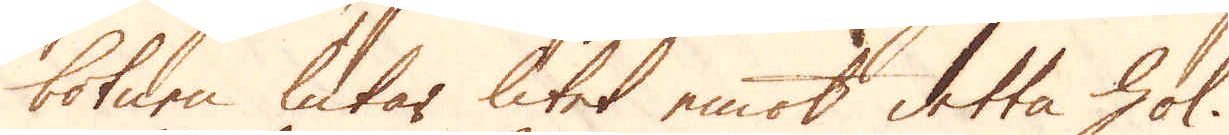botnen lukar litet emot detta hol.
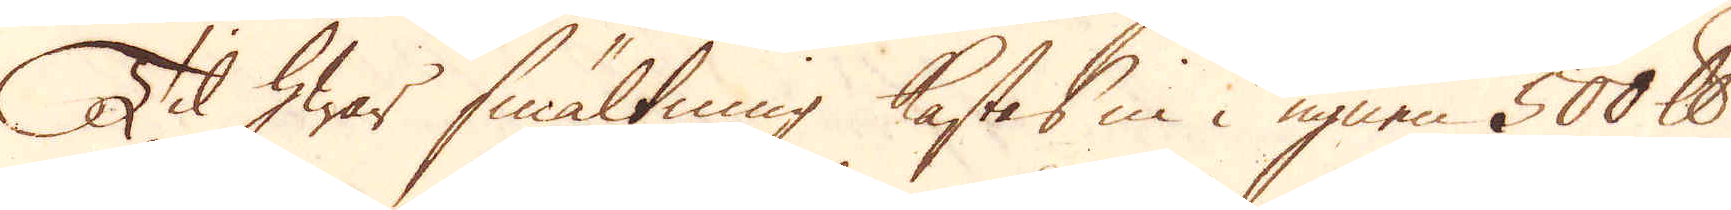Til hwar smältning kastas in i ugnen 500 skålpund
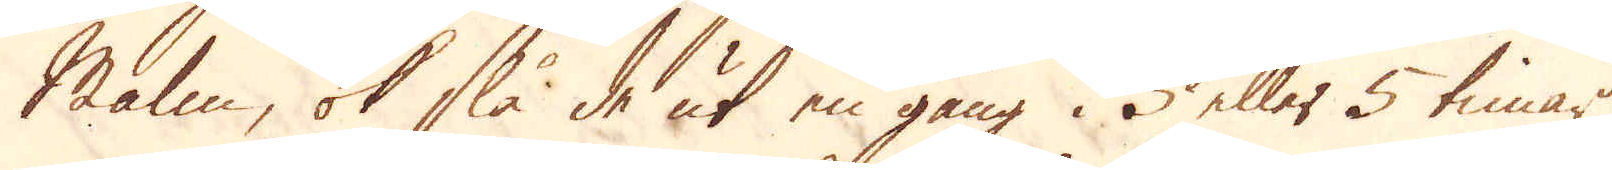Malm, ok slå de ut en gång i 3 eller 5 timar
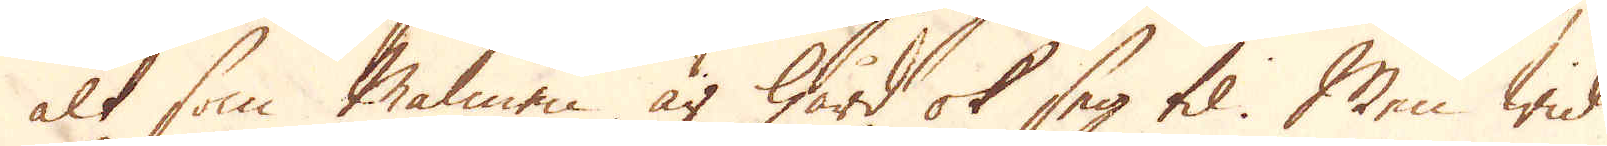alt som Malmen är hård ok seg til. Men wid
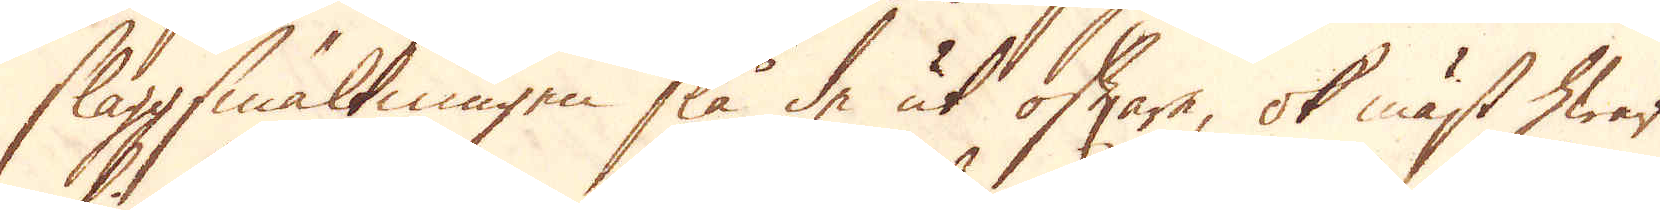slaggsmältningen slå de ut oftare, ok mäst hwar
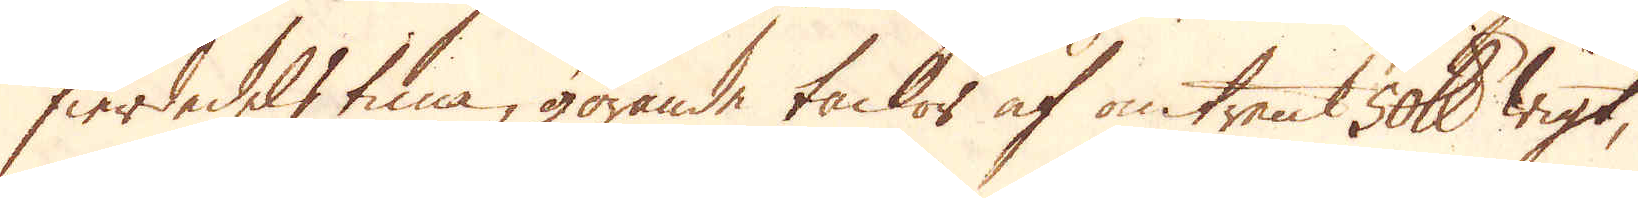fierdedels tima, görande tackor af omtrent 50 skålpund wigt,
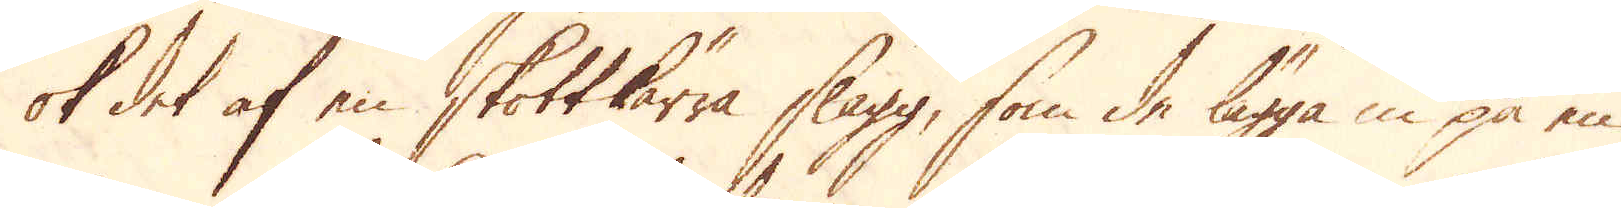ok det af en skottkärra slagg, som de lägga in på en
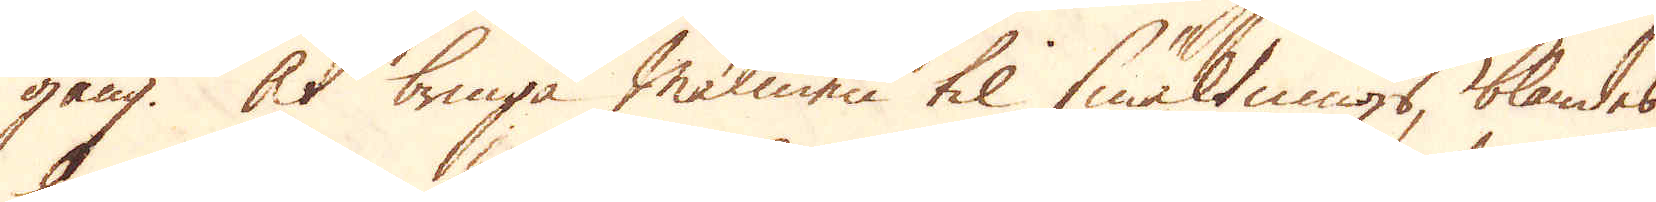gång. At bringa Malmen til smältnings, blandes
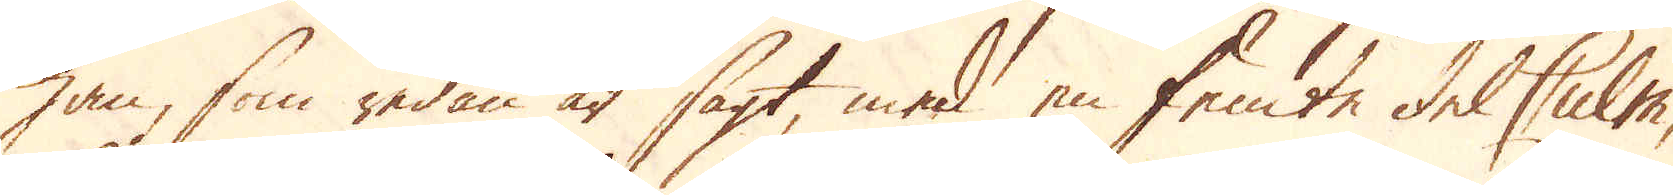han, som redan är sagt, med en femte del Culm,
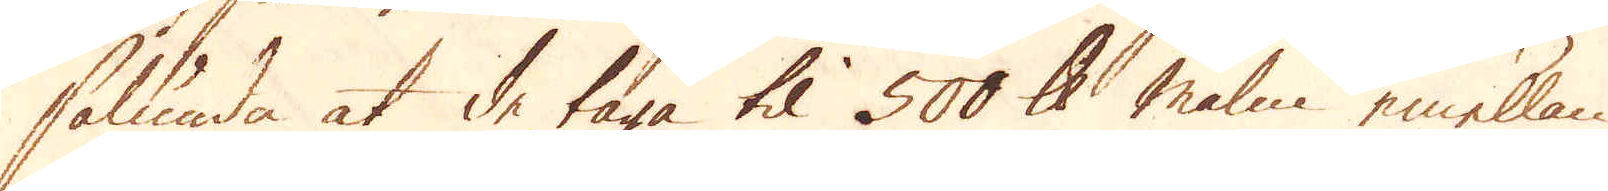sålunda at de taga til 500 skålpund malm emellan
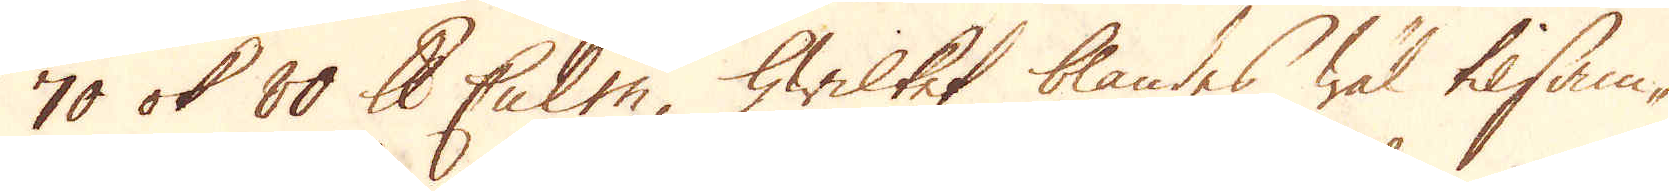70 ok 80 skålpund Culm, hwilket blandes wäl tilsam-
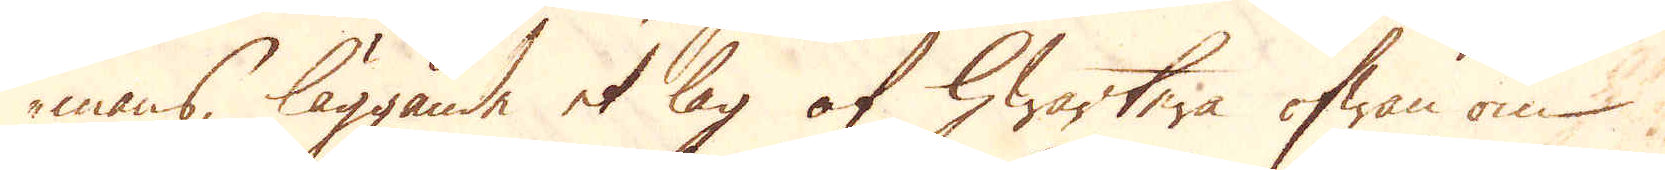mans, läggande et lag af hwartera ofwan om
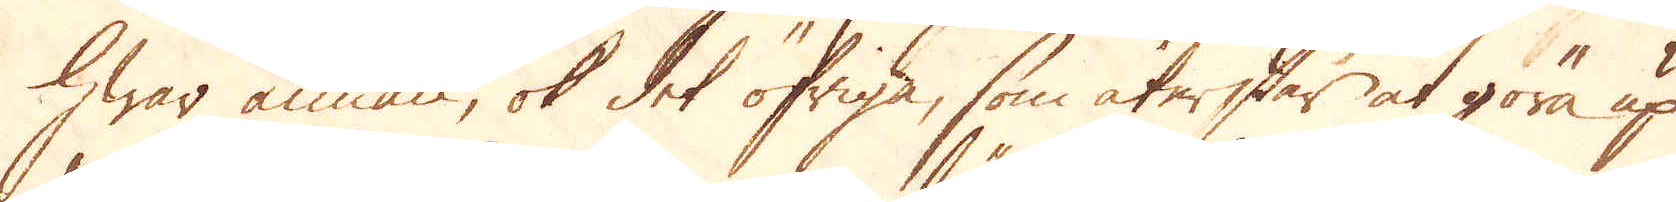hwar annan, ok det öfriga, som återstår at göra up
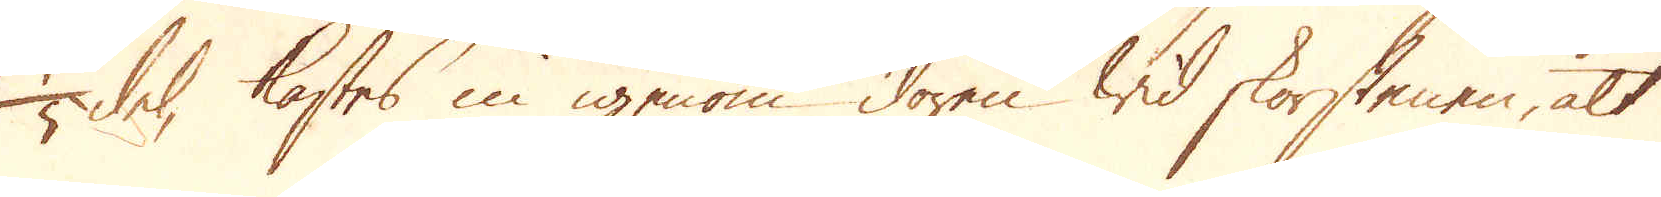1/5 del, kastas in igenom dören wid skorstenen, alt
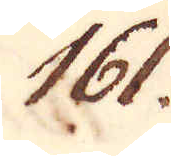161.
